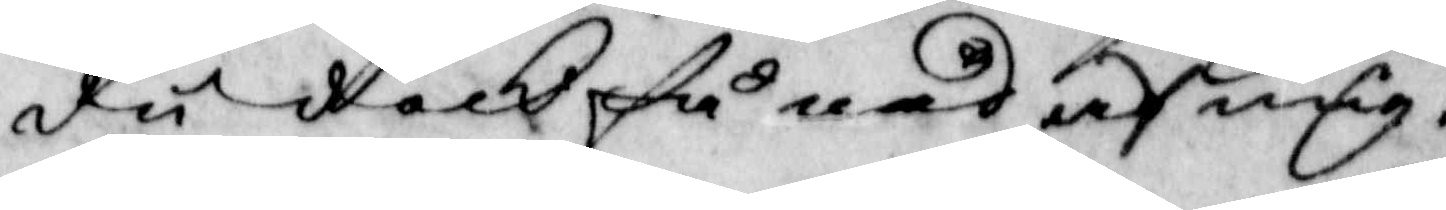du dock få nåd af mig.
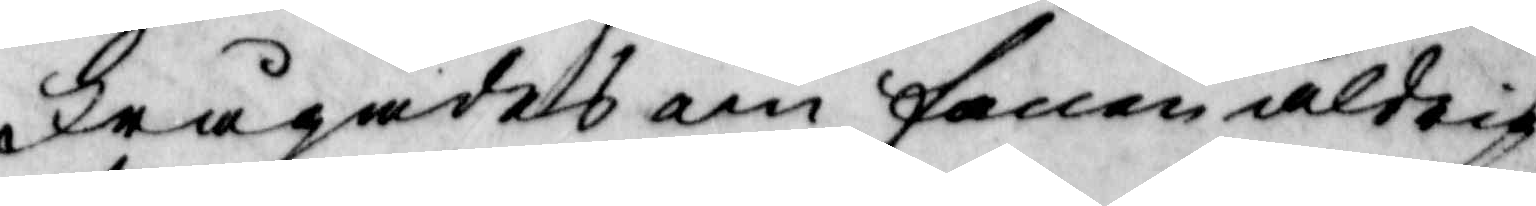Frågades om fanen aldrig
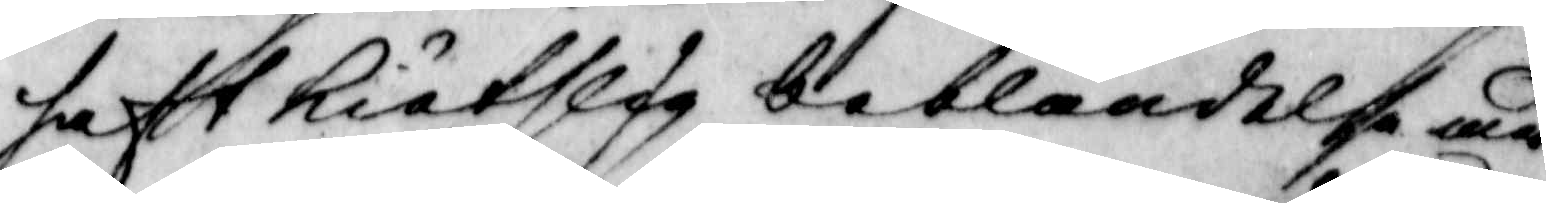haft kiötslig beblandelse med
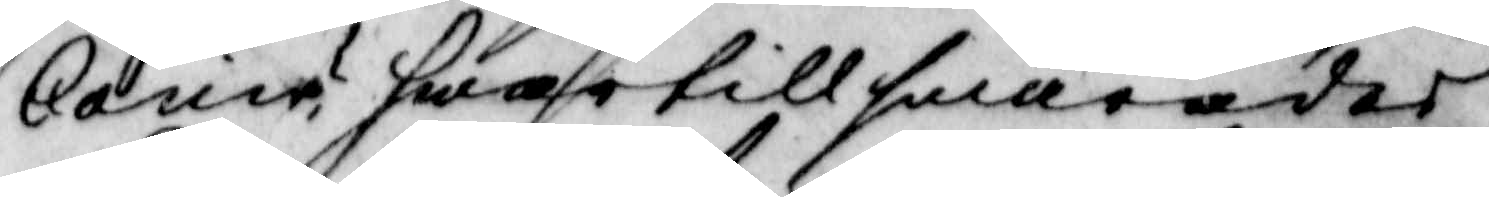Carin? hwartill swarades
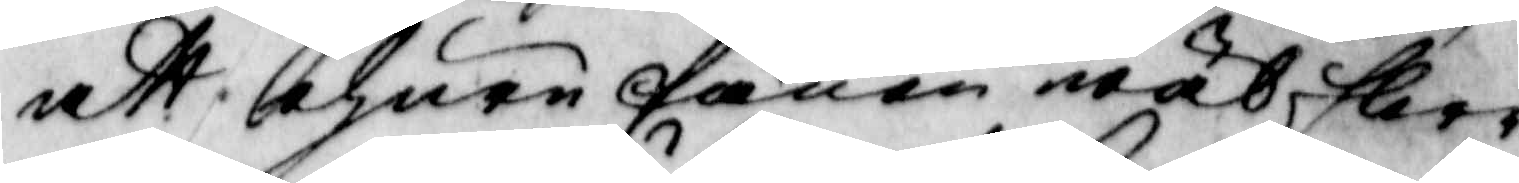att ehuru fanan wäl flere
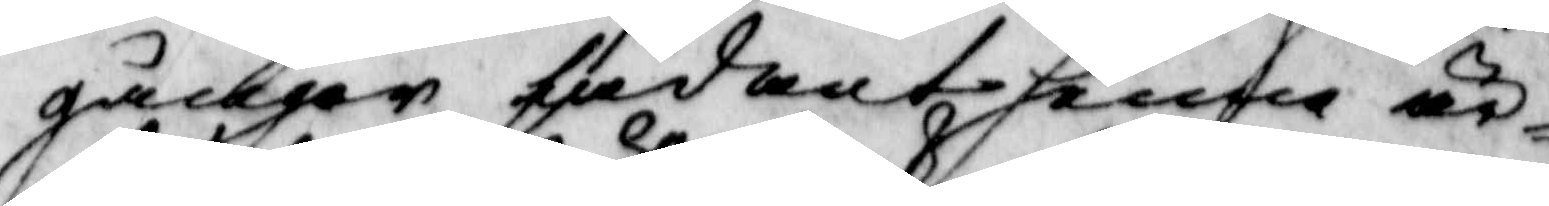gånger sådant henne är¬
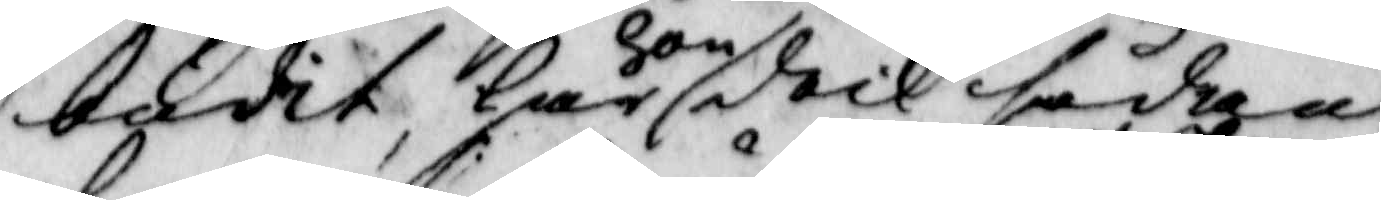budit, har hon doch sådant
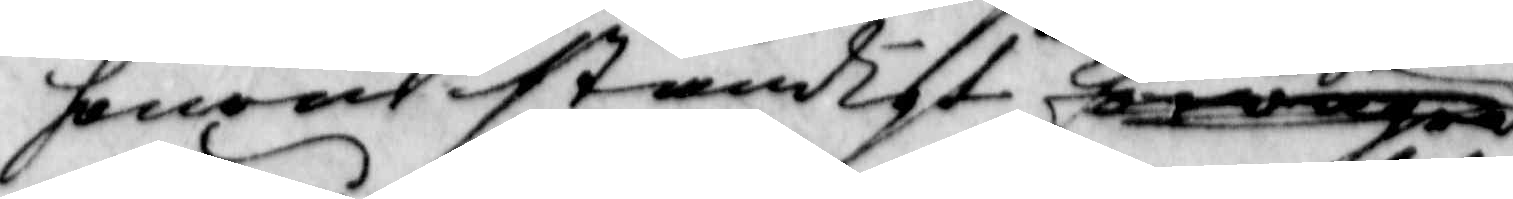honom ständigt
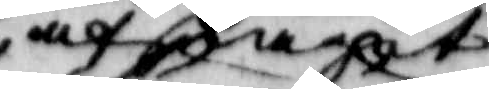afslagit
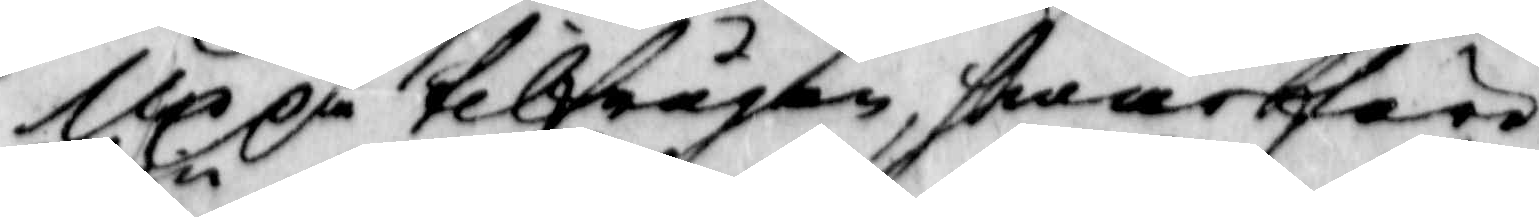Up på tilfrågan hwarföre
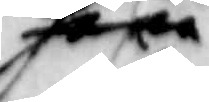hon
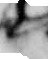Carin
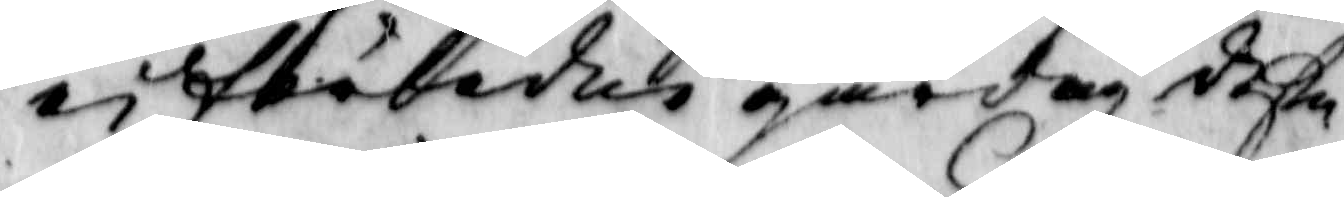ei förledne gårdag dette
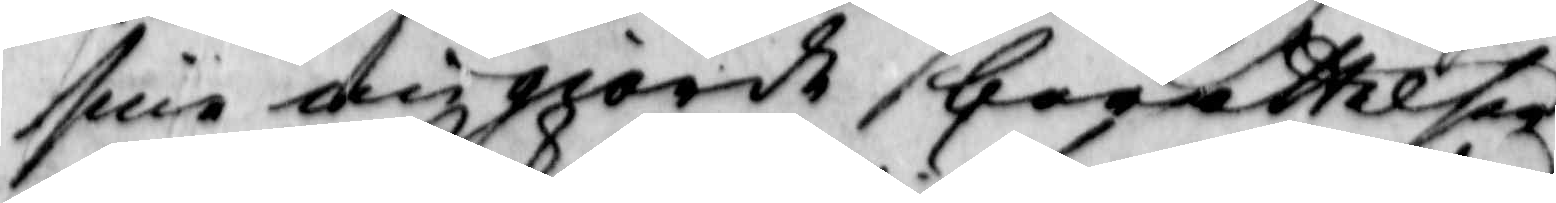sine migiordh berättelsen
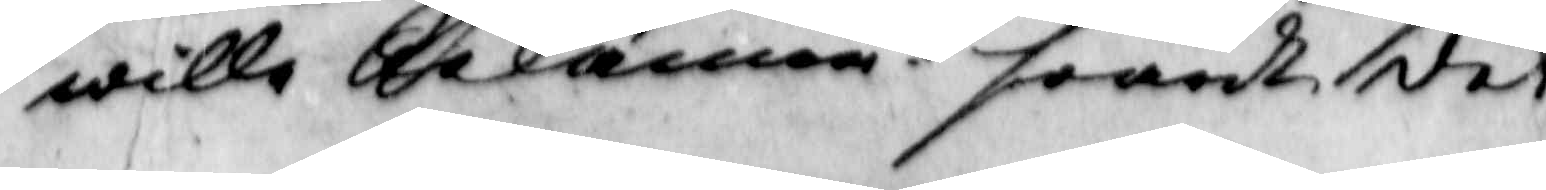wille bekänna? swardt det
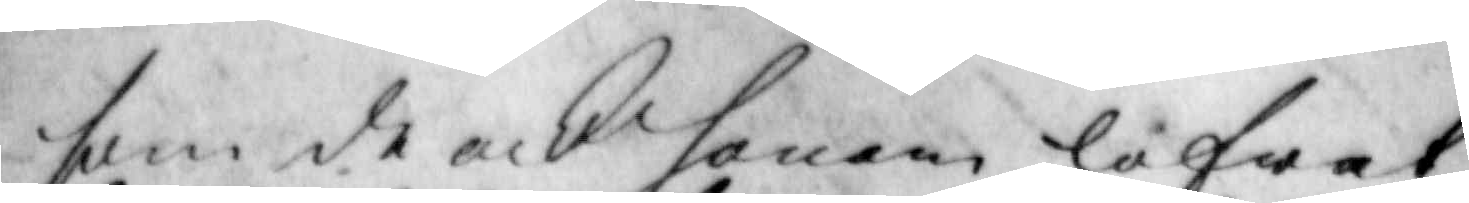som de och fanen lofwat
